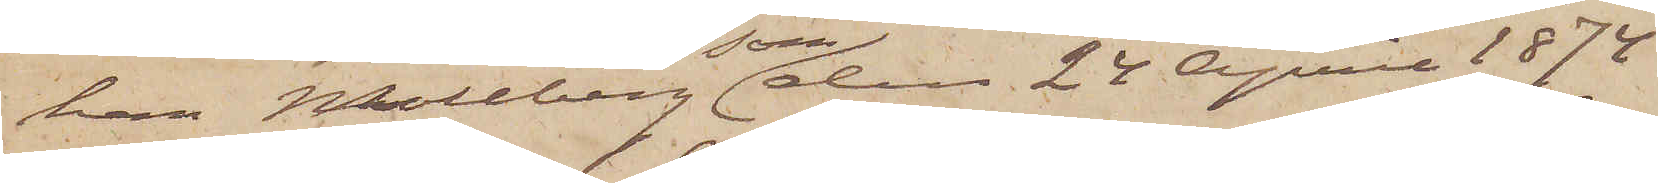han Mollberg som den 24 April 1874
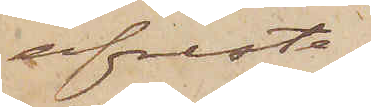afreste
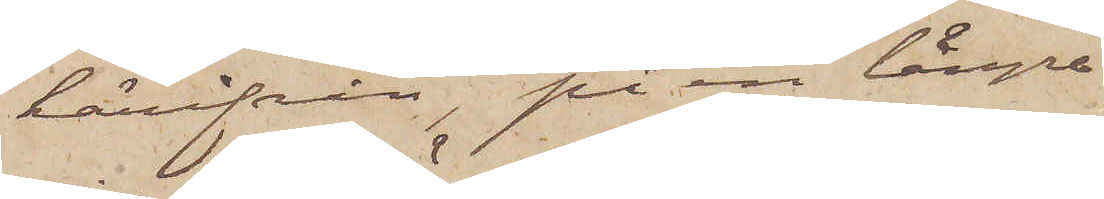härifrån, på en längre
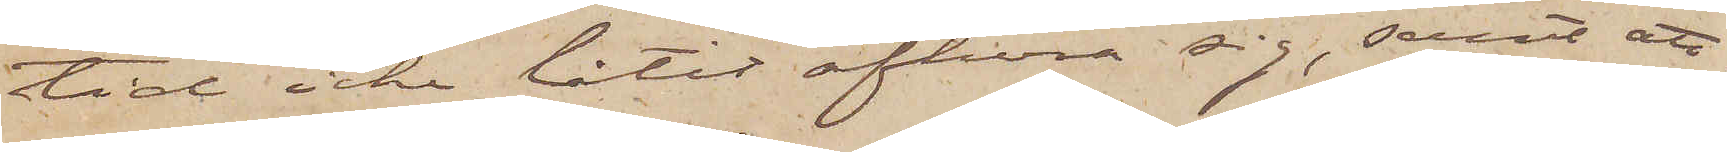tid icke låtit afhöra sig, samt att,
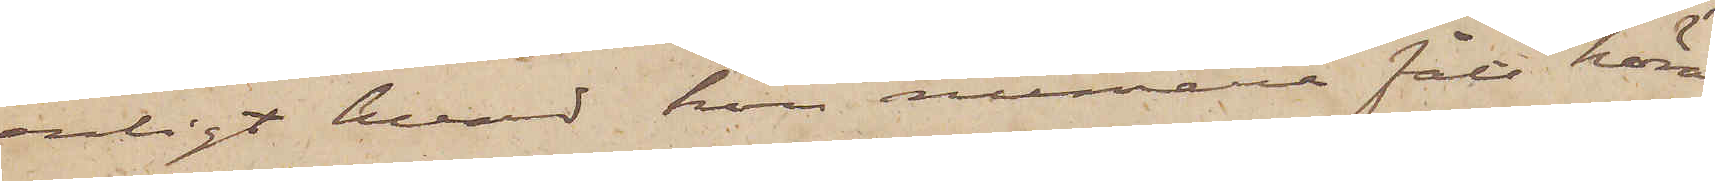enligt hvad hon numera fått höra,
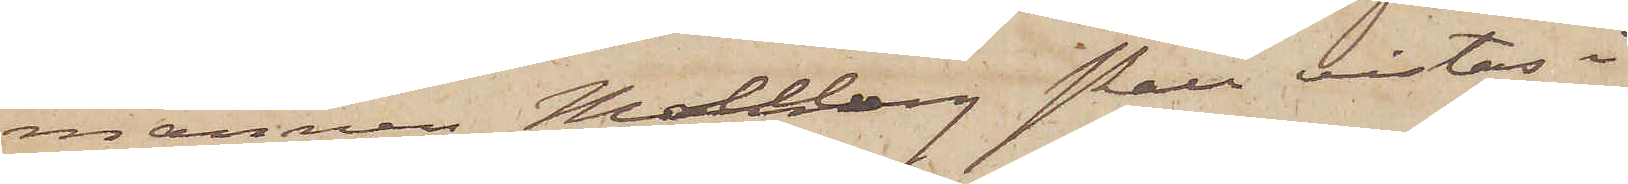mannen Mollberg skall vistas i
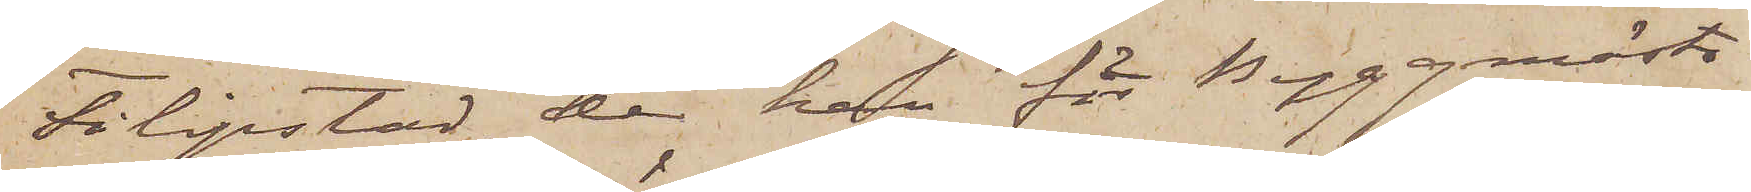Filipstad, der han för Byggmästa¬
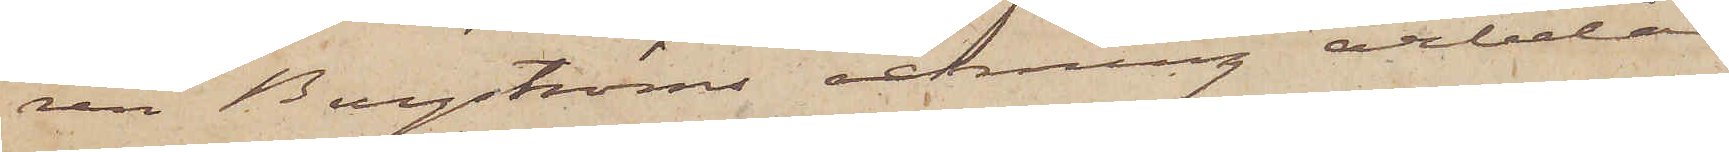ren Bergströms räkning arbetar
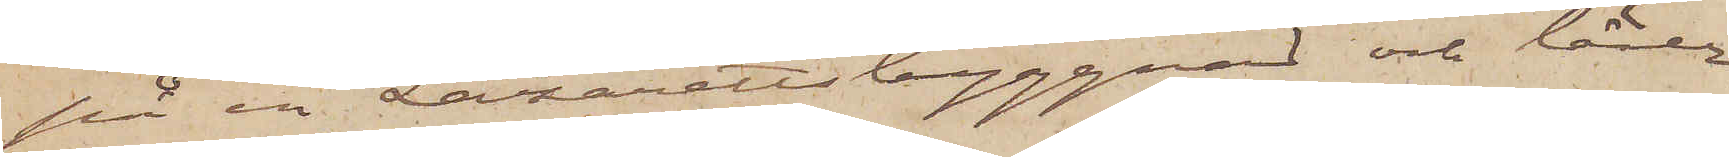på en Lazarettsbyggnad och lärer
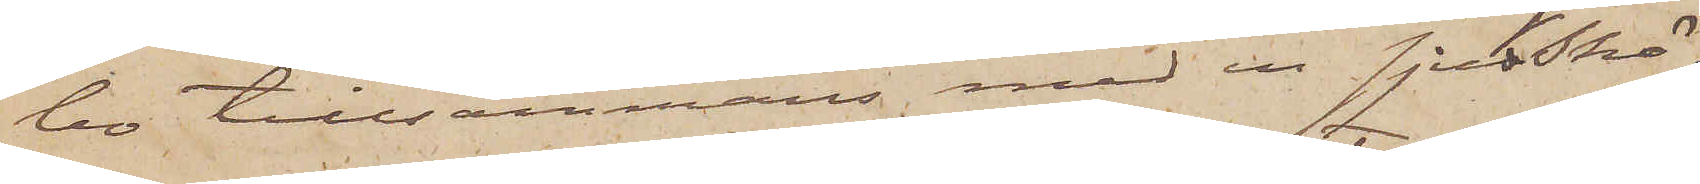bo tillsammans med en sjukskö¬
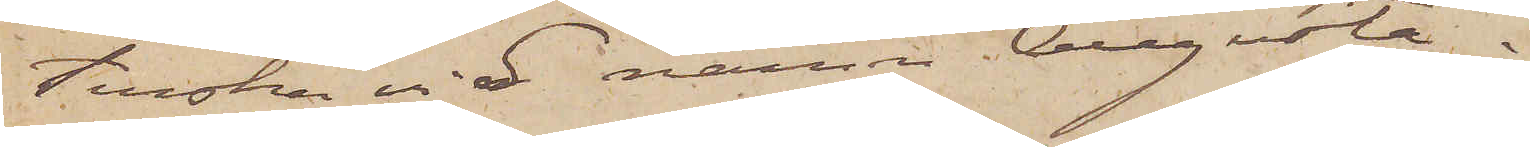terska vid namn Augusta.
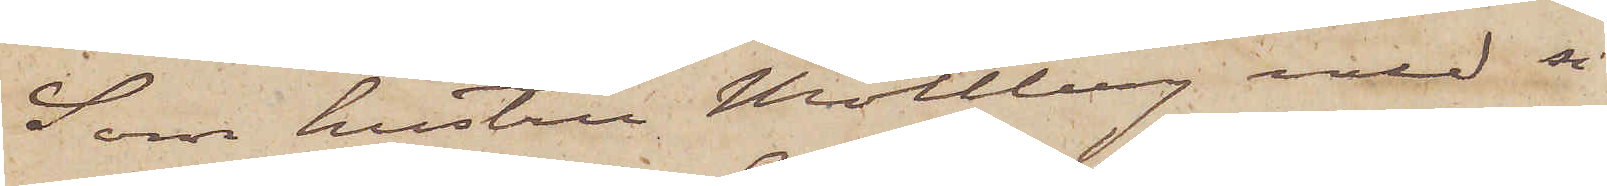Som hustru Mollberg med si¬
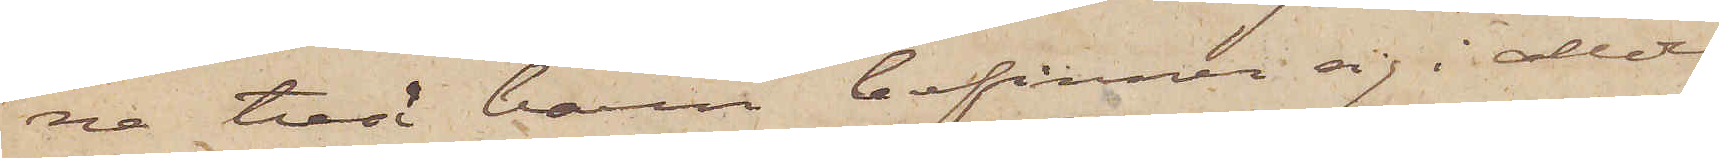na två barn befinner sig i allde¬
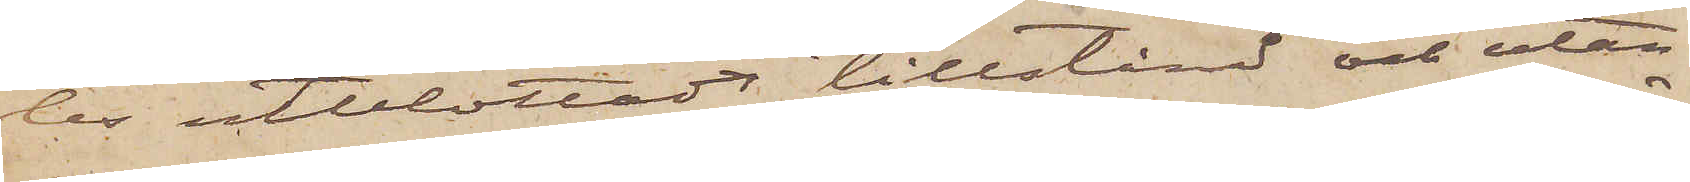les utblottadt tillstånd och utan
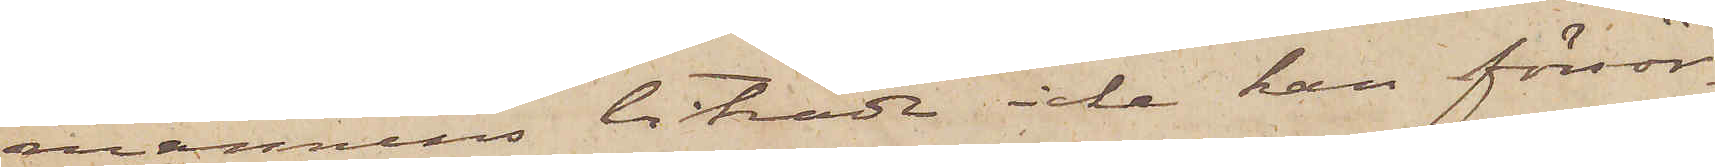mannens biträde icke kan försör¬
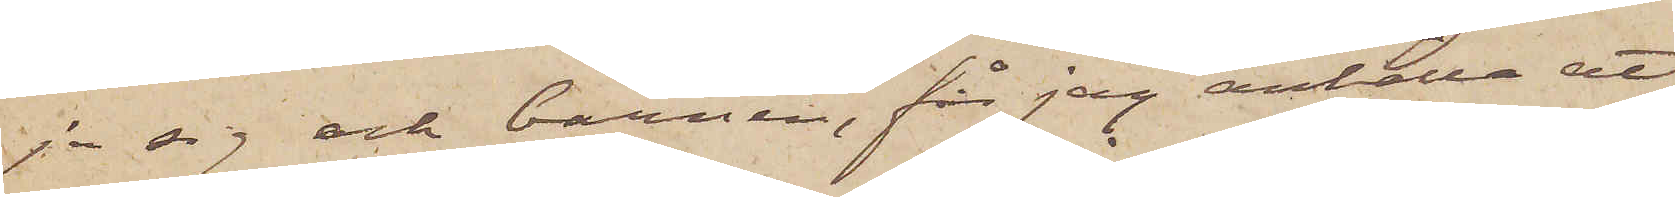ja sig och barnen, får jag anhålla att
